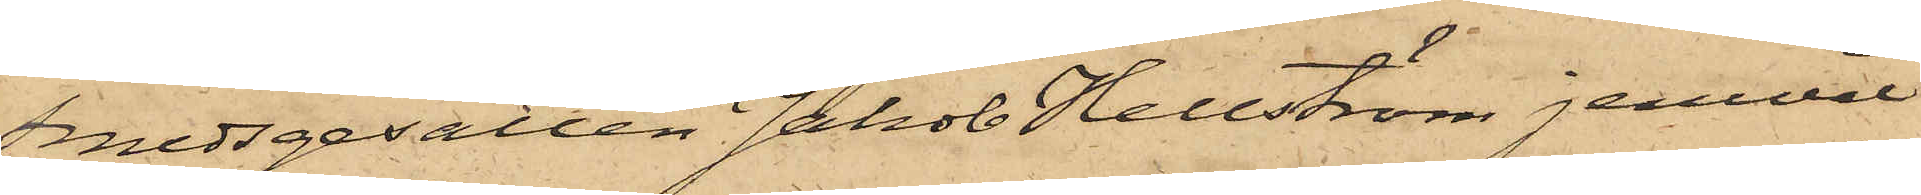Smedsgesällen Jakob Hellström, jemväl
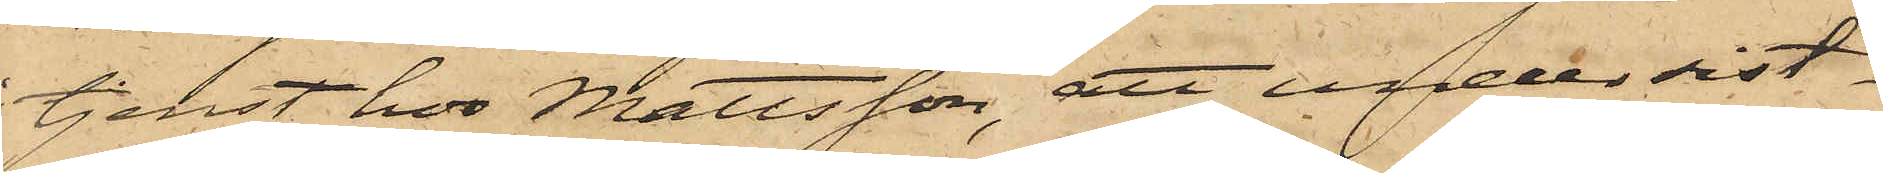tjenst hos Mattsson, att under sist¬
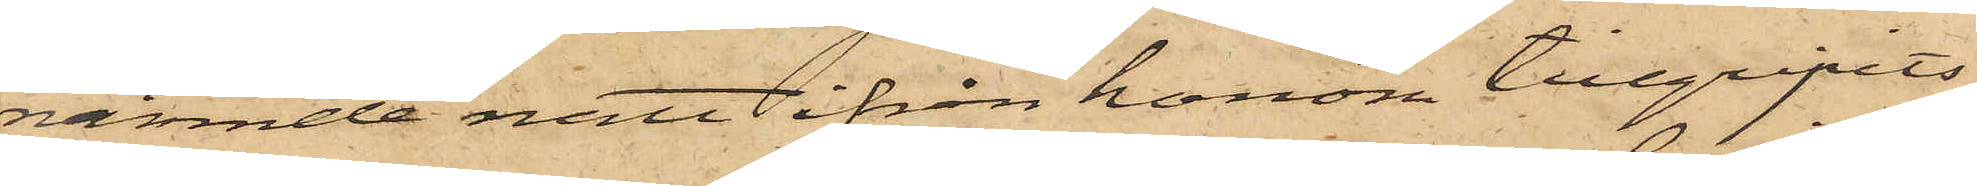nämnde natt ifrån honom tillgripits
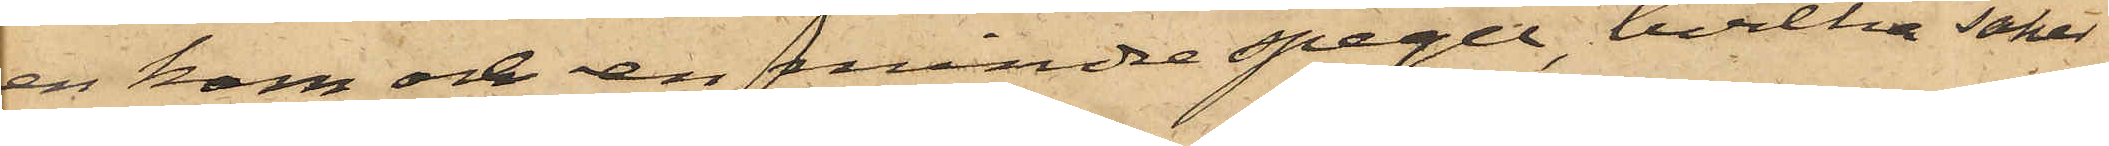en kam och en mindre spegel, hvilka saker
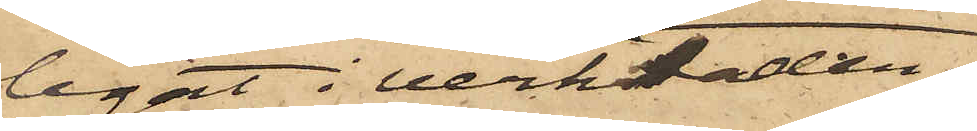legat i verkstaden.
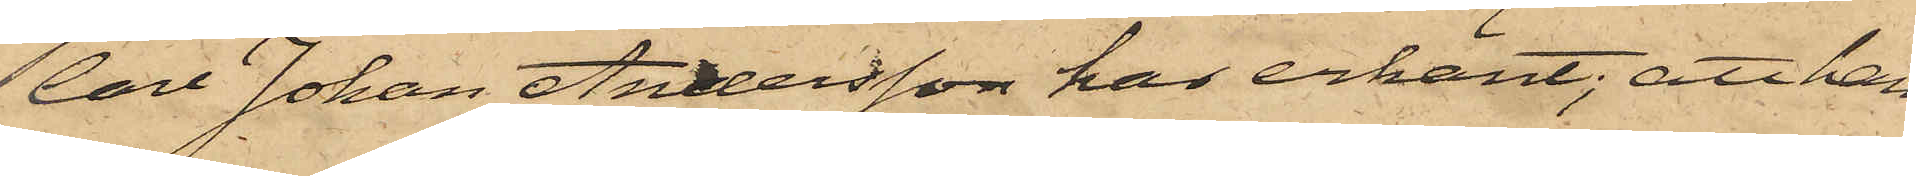Carl Johan Andersson har erkänt; att han
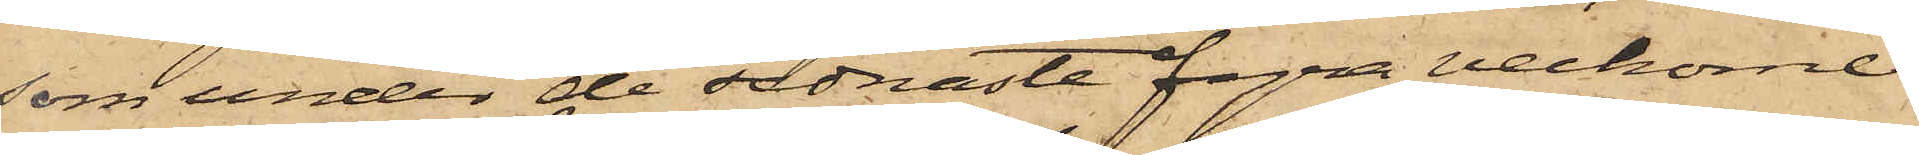som under de sednaste fyra veckorne
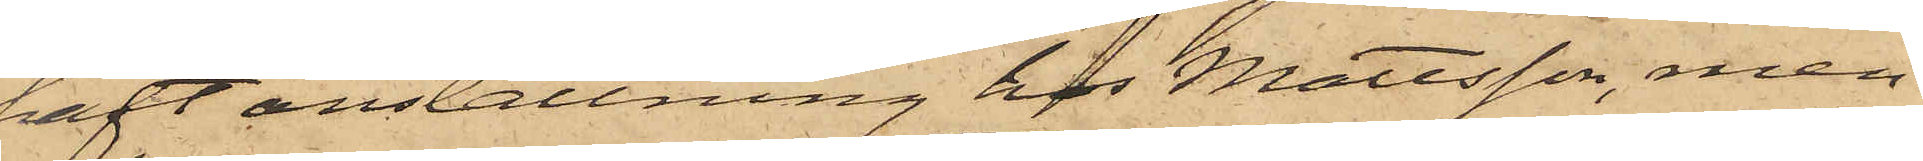haft anställning hos Mattsson, men
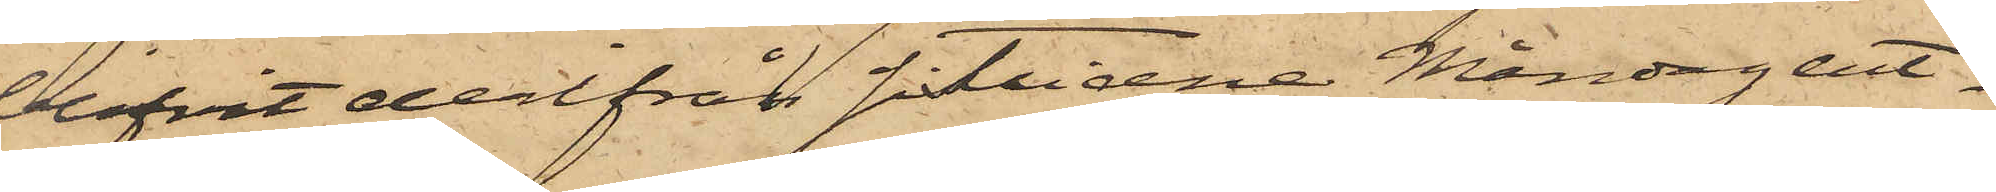blifvit derifrån sistlidne Måndag ent¬
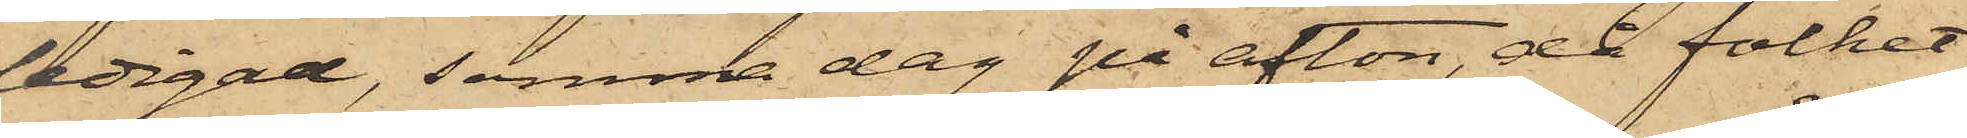ledigad, samma dag på afton, då folket
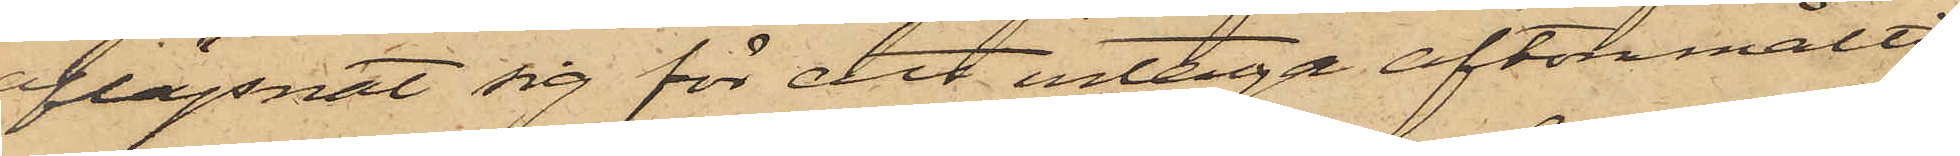aflägsnat sig för att intaga aftonmålti¬
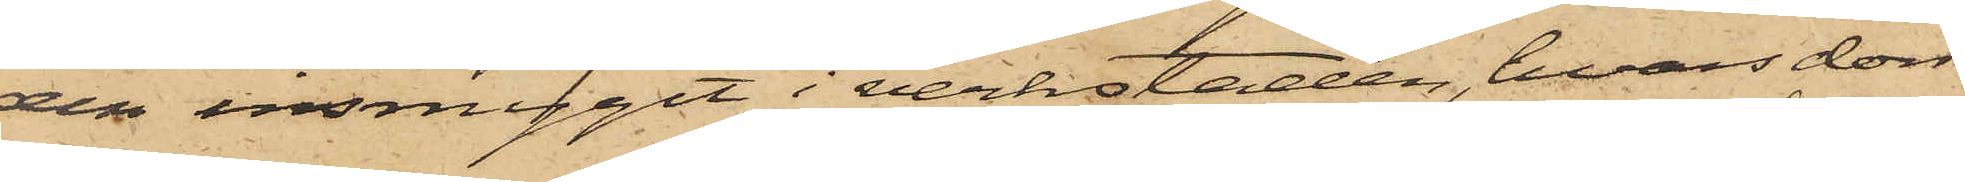den insmygit i verkstaden, hvars dörr
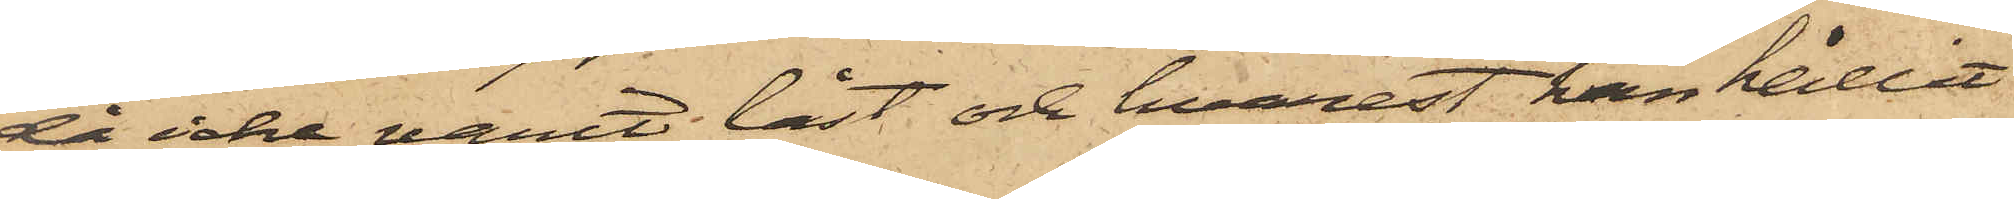då icke varit låst och hvarest han hållit
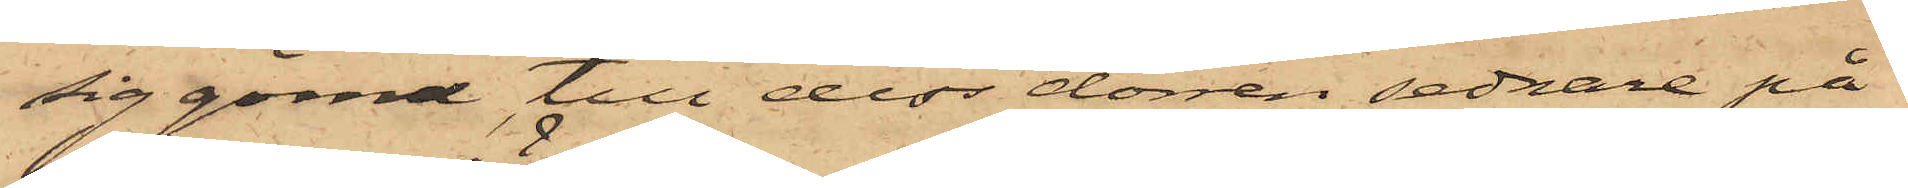sig gömd, till dess dörren sednare på
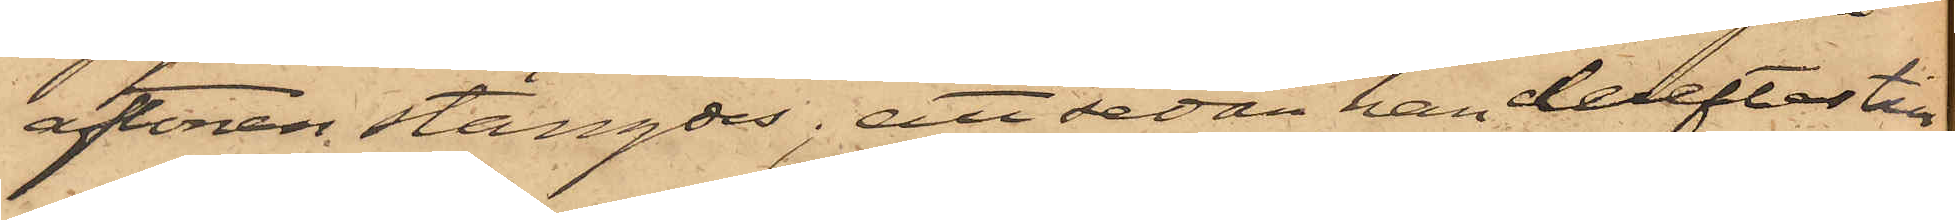aftonen stängdes; att sedan han derefter till¬
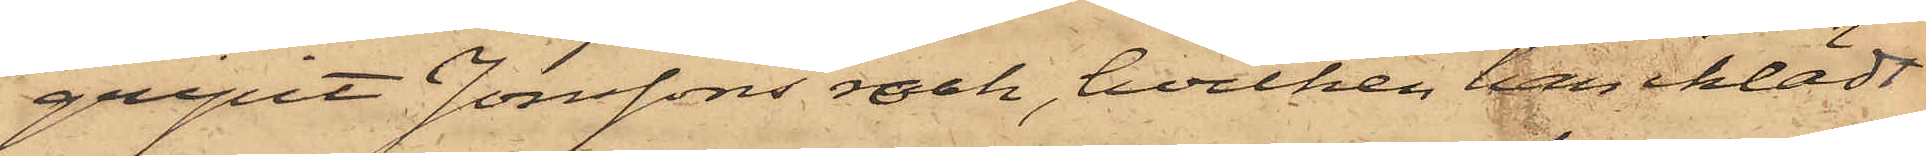gripit Jonssons rock, hvilken han iklädt
